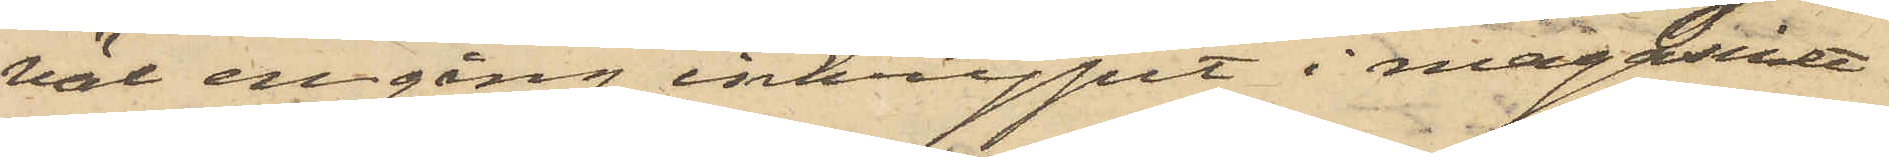väl en gång inkrypit i magasinet
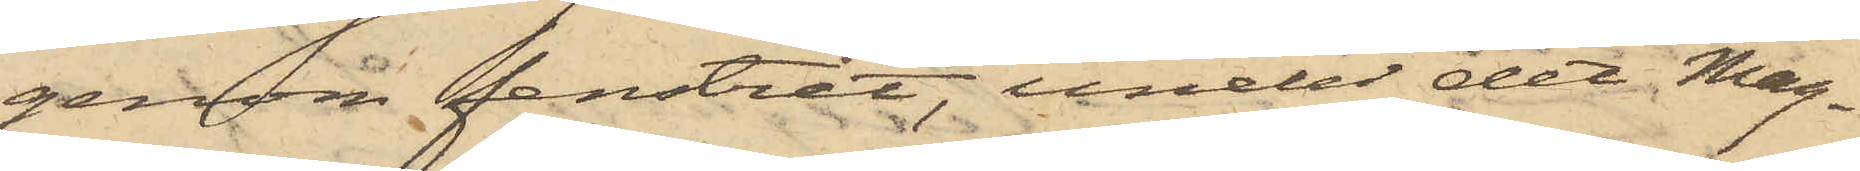genom fenstret, under det Mag¬
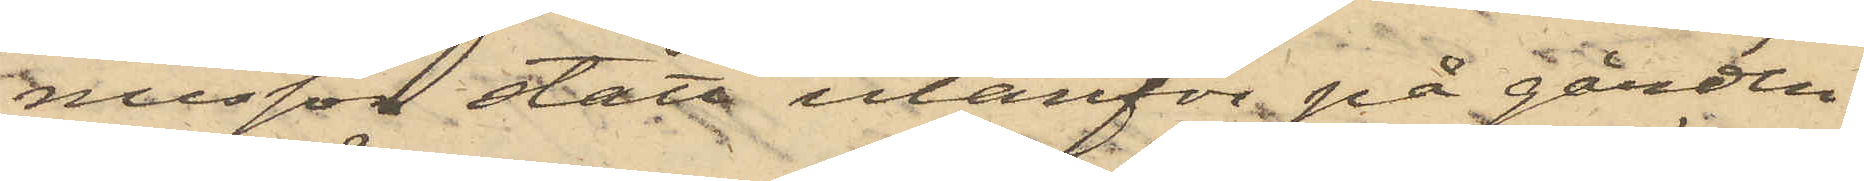nusson stått utanför på gården
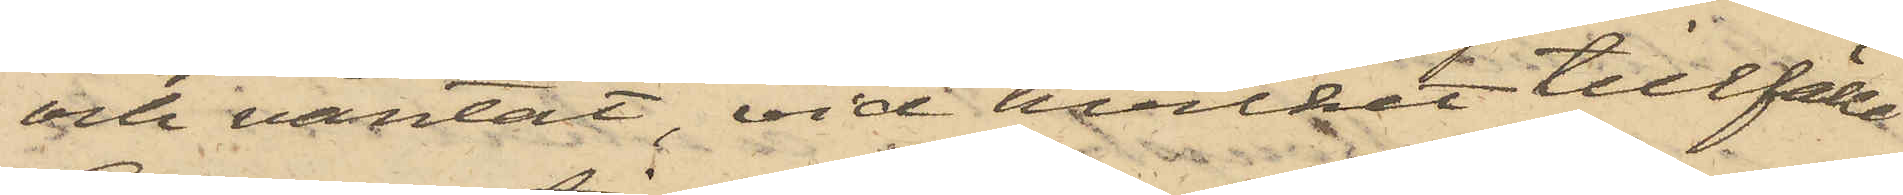och väntat, vid hvilket tillfälle
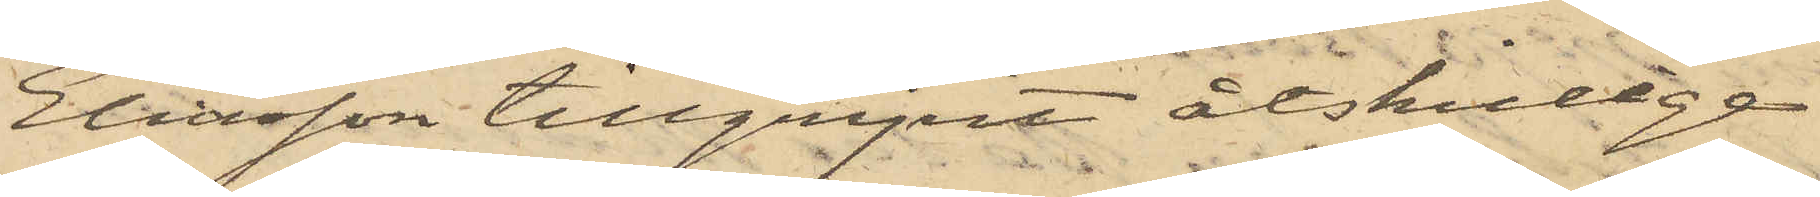Eliasson tillgripit åtskillige
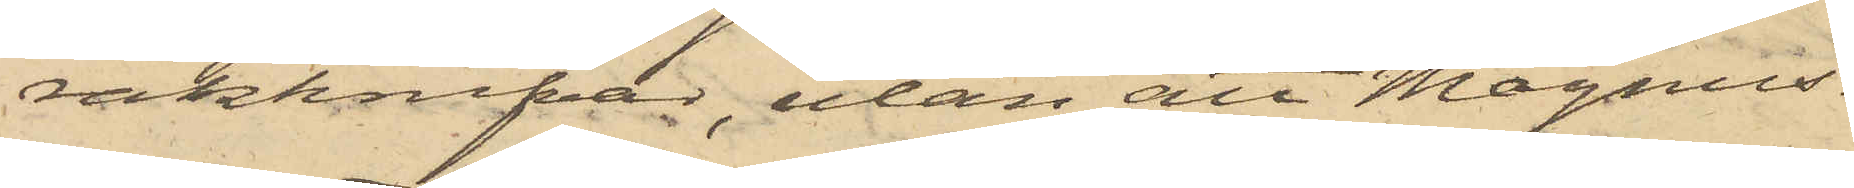rakknifvar, utan att Magnus¬
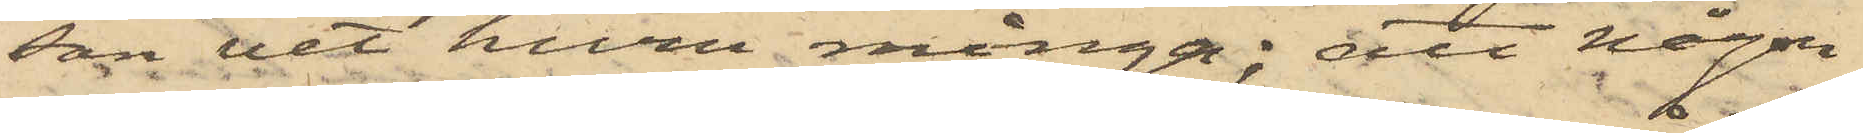son vet huru många; att någon
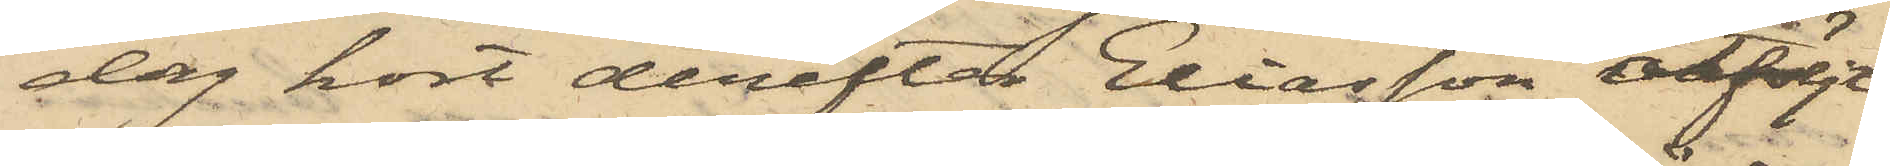dag kort derefter Eliasson åtföljt
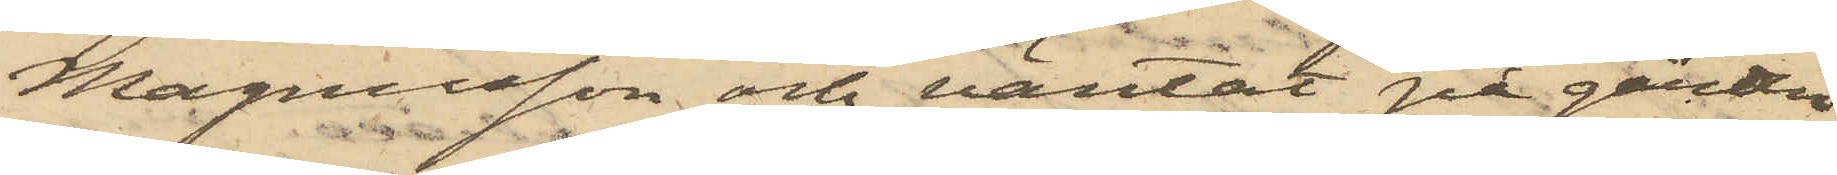Magnusson och väntat på gården
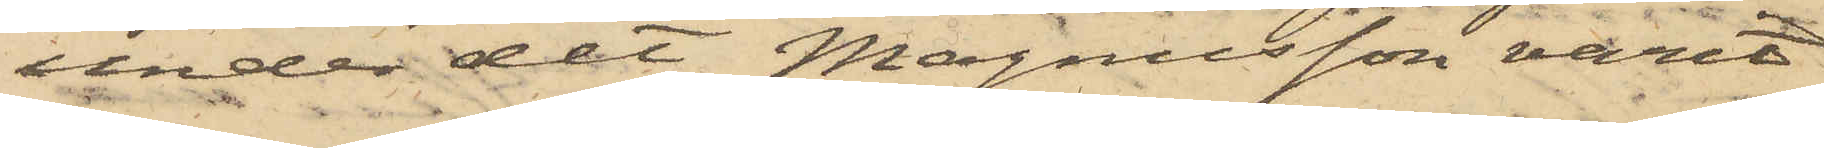under det Magnusson varit
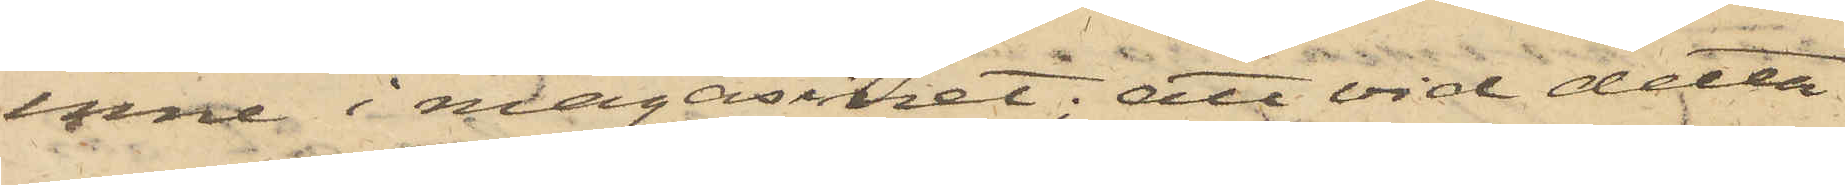inne i magasinet; att vid detta
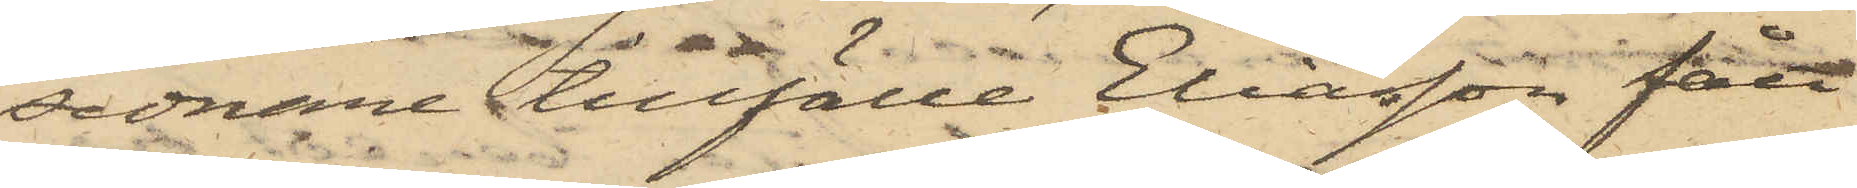sednare tillfälle Eliasson fått
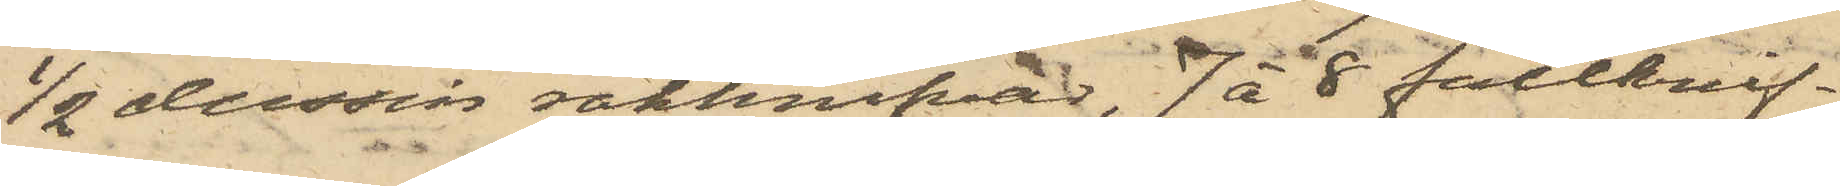1/2 dussin rakknifvar, 7 à 8 fällknif¬
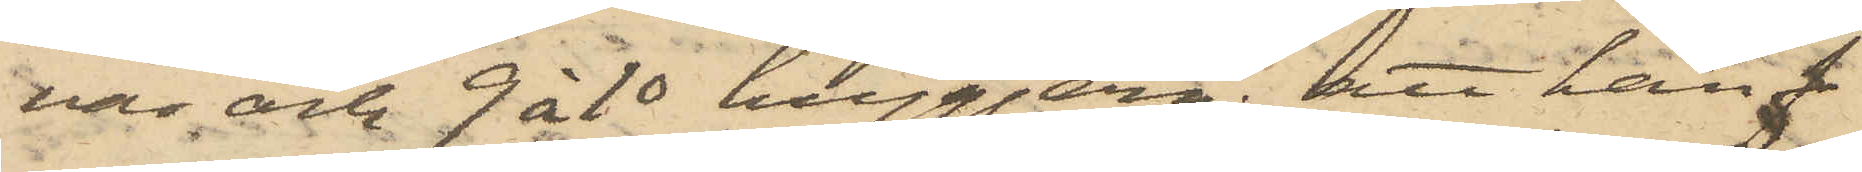var och 9 à 10 huggjern; att han f
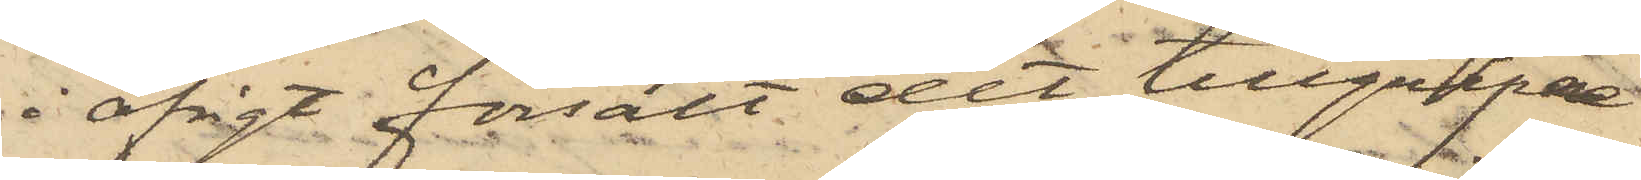i öfrigt försålt det tillgripne
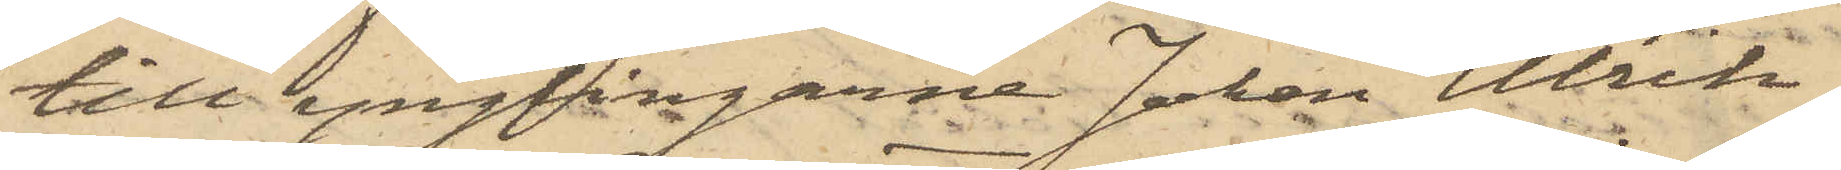till ynglingarne Johan Ulrik
